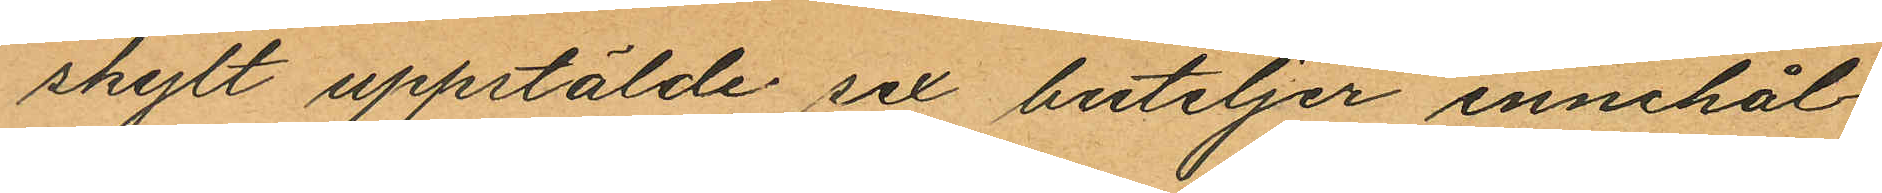skylt uppstälde sex buteljer innehål¬
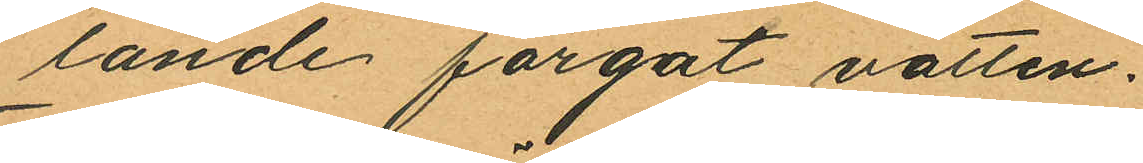lande färgat vatten.
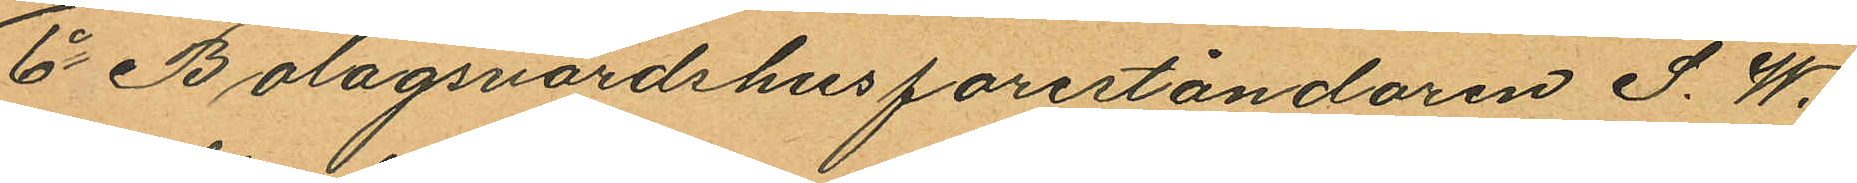6o Bolagsvärdshusföreståndaren S. W.
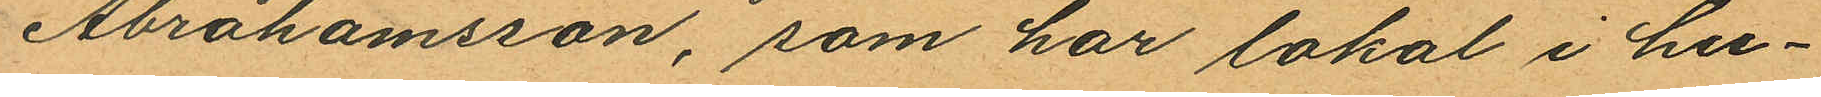Abrahamsson, som har lokal i hu¬
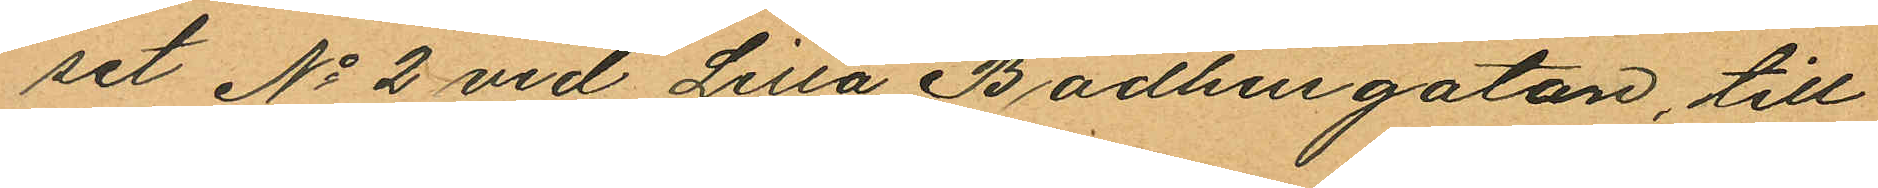set No 2 vid Lilla Badhusgatan, till
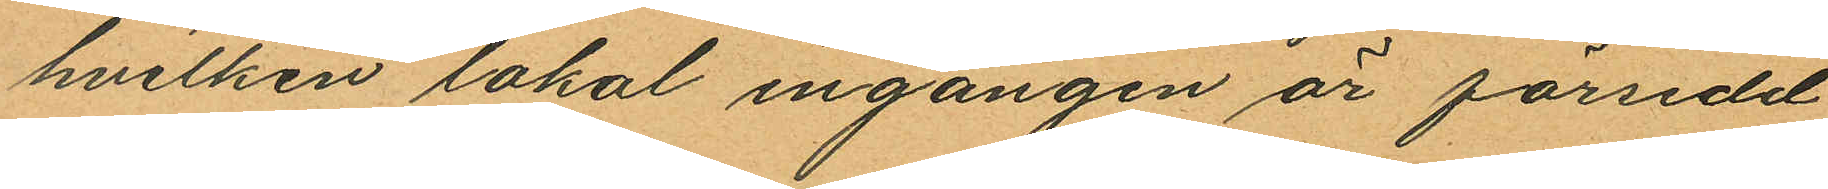hvilken lokal ingången är försedd
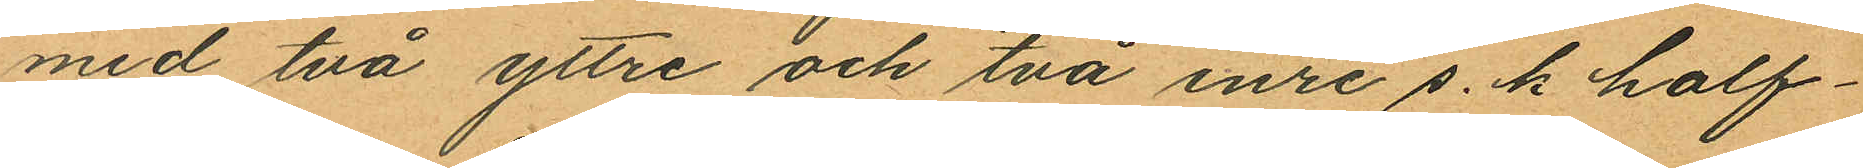med två yttre och två inre s.k half¬
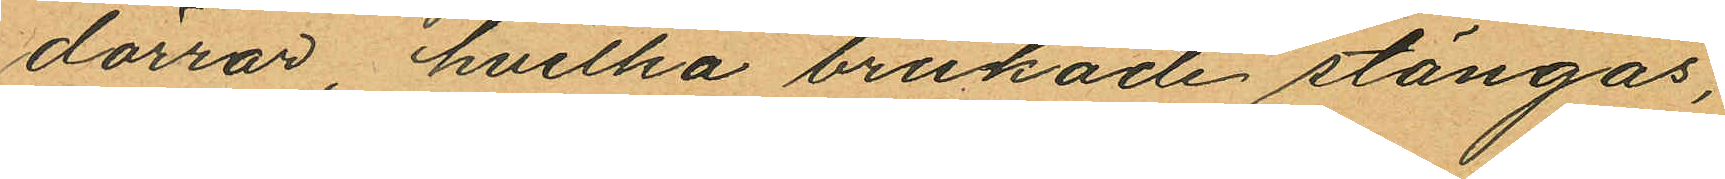dörrar, hvilka brukade stängas,
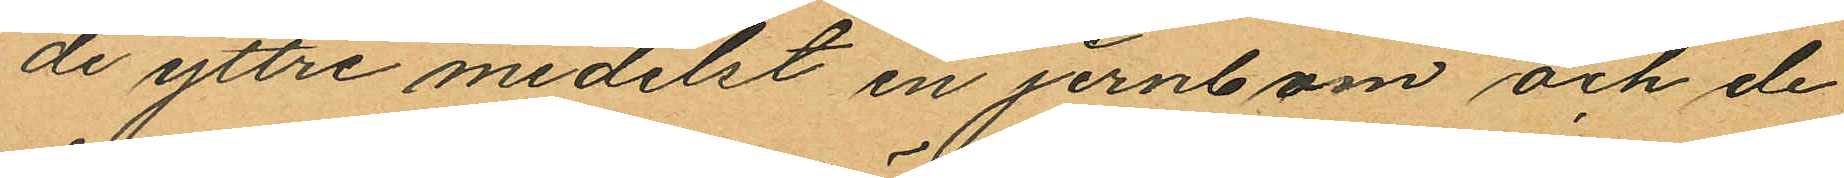de yttre medelst en jernbom och de
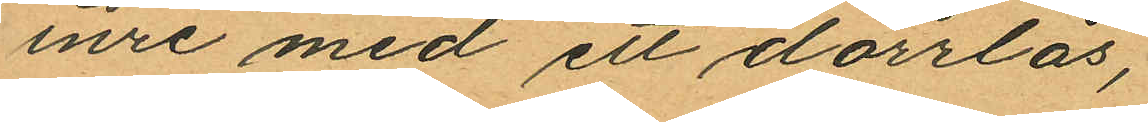inre med ett dörrlås,
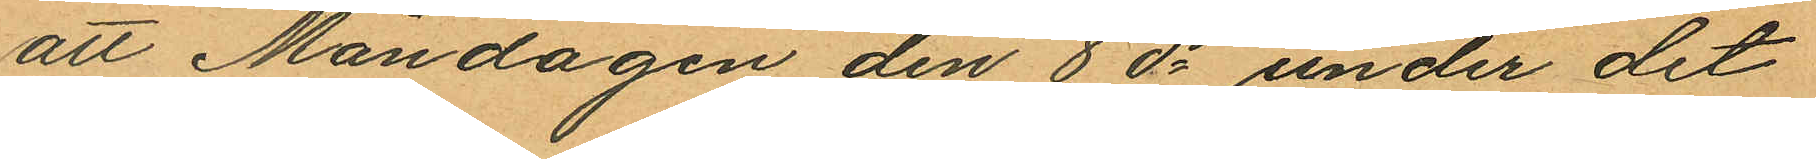att Måndagen den 8 ds under det
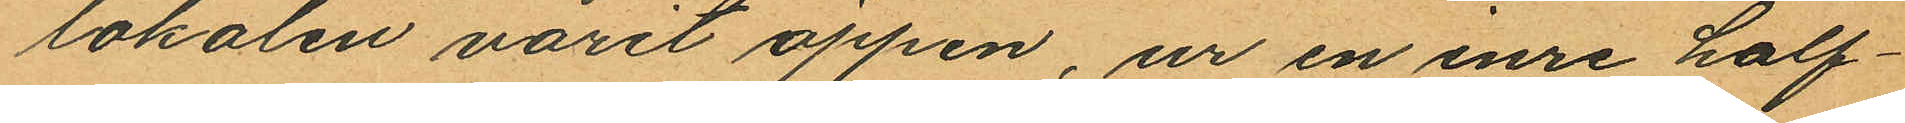lokalen varit öppen, ur en inre half¬
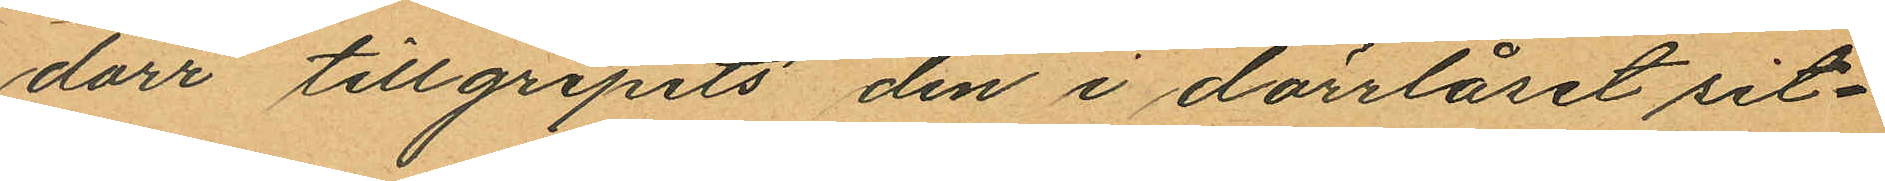dörr tillgripits den i dörrlåset sit¬
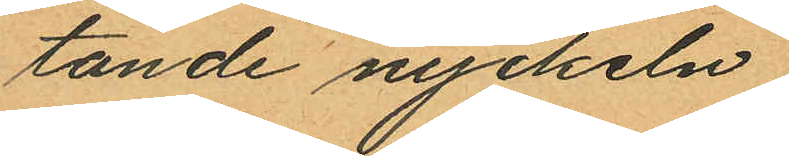tande nyckeln;
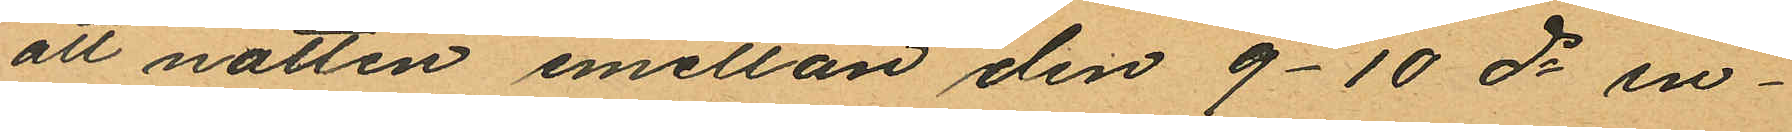att natten emellan den 9-10 ds in¬
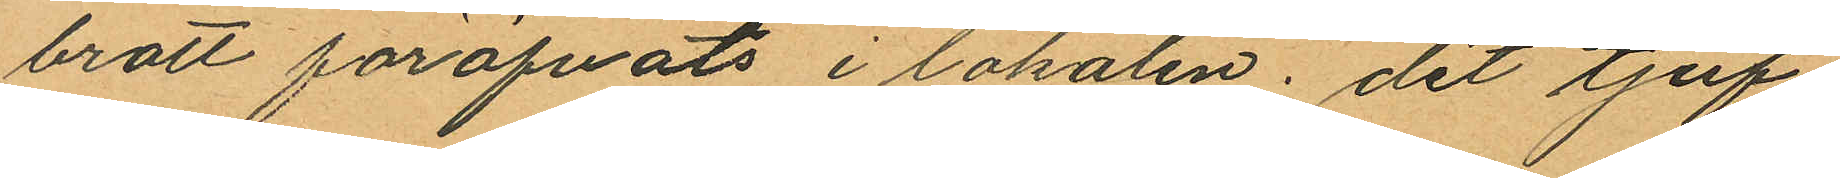brott föröfvats i lokalen, dit tjuf¬
